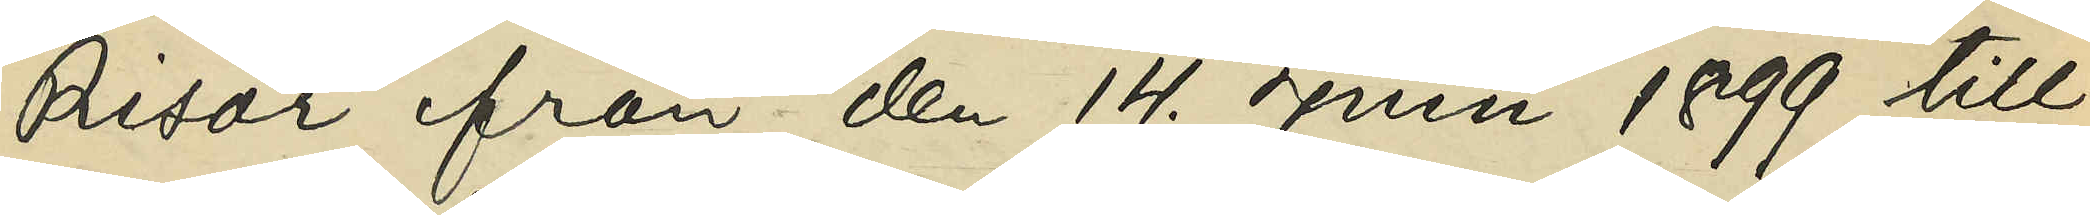Risör från den 14. Juni 1899 till
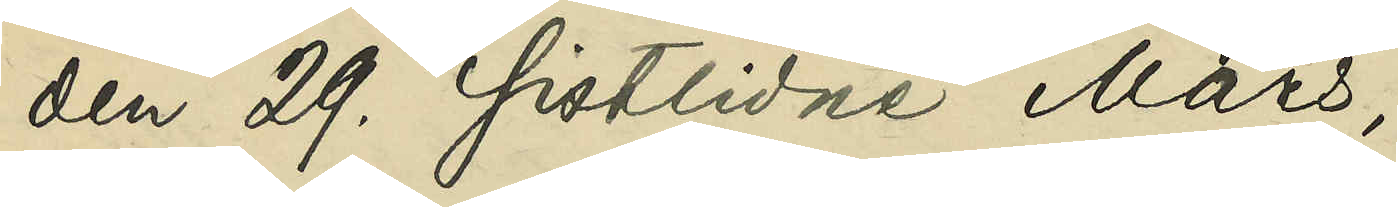den 29. sistlidne Mars;
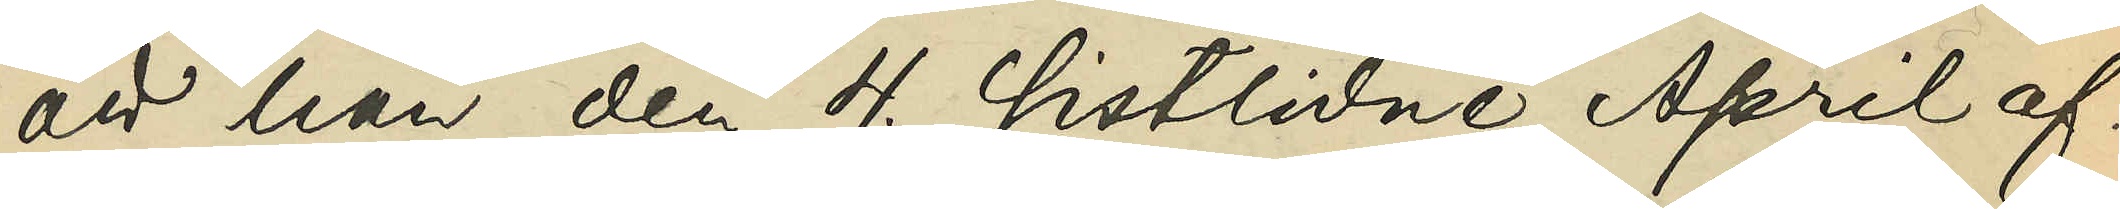att han den 4. sistlidne April af¬
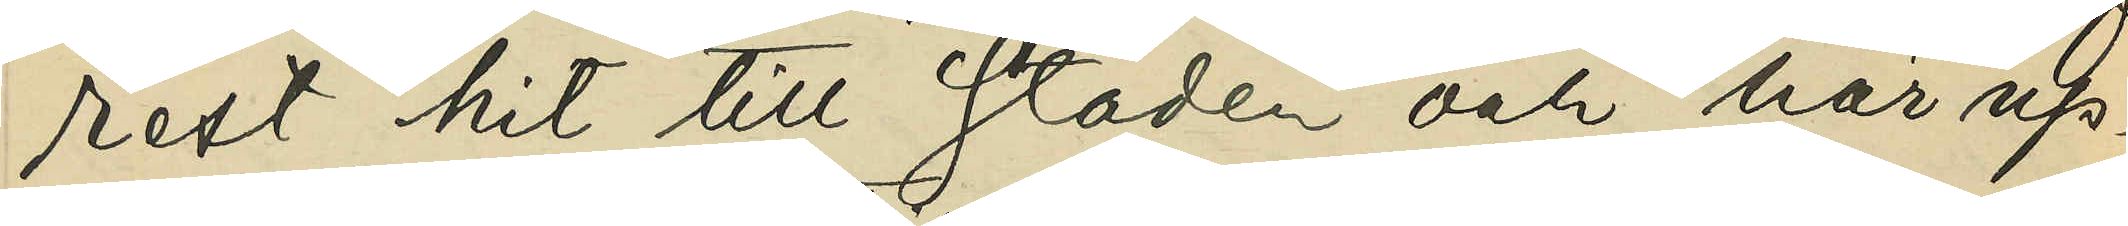rest hit till staden och här up¬
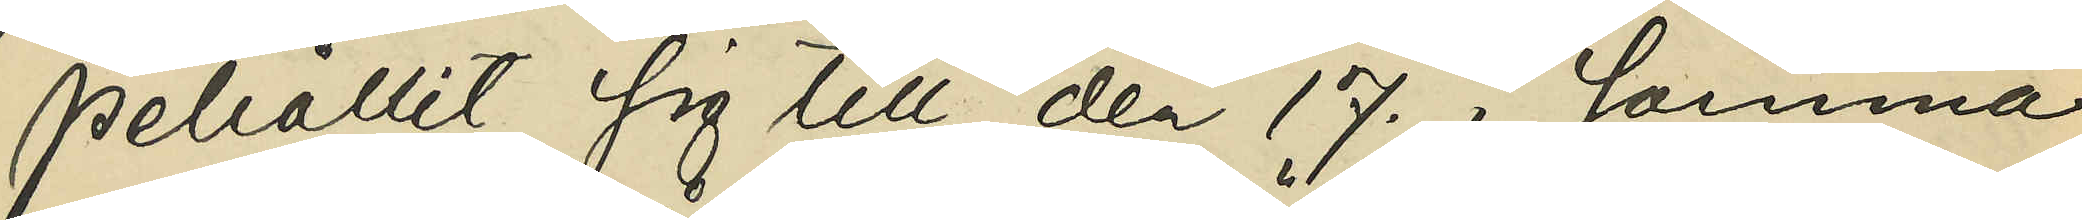pehållit sig till den 17. i samma
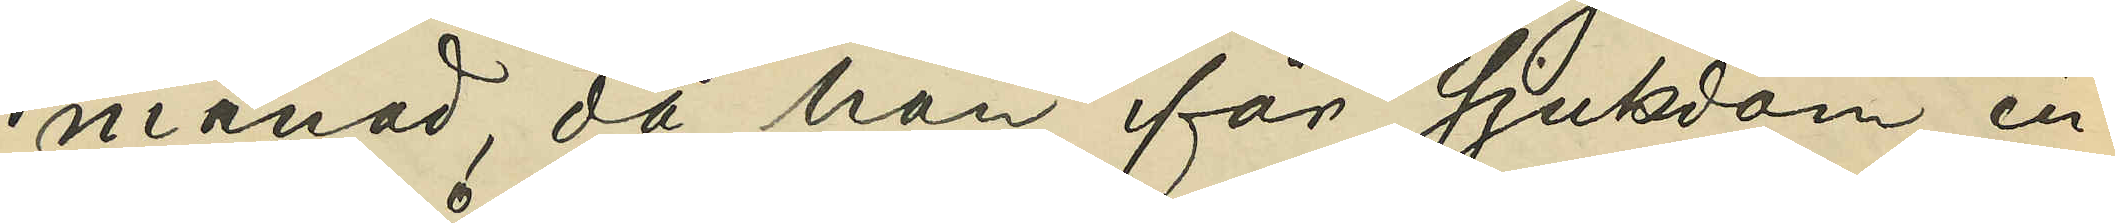månad, då han för sjukdom in¬
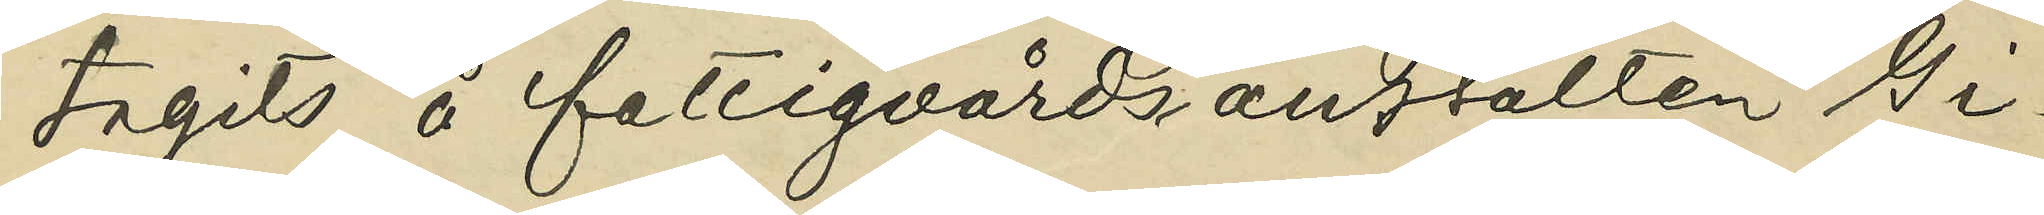tagits å fattigvårdsanstalten Gi¬
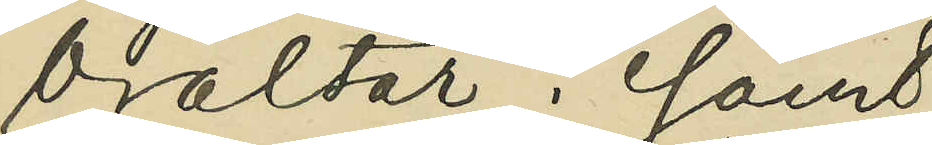braltar; samt
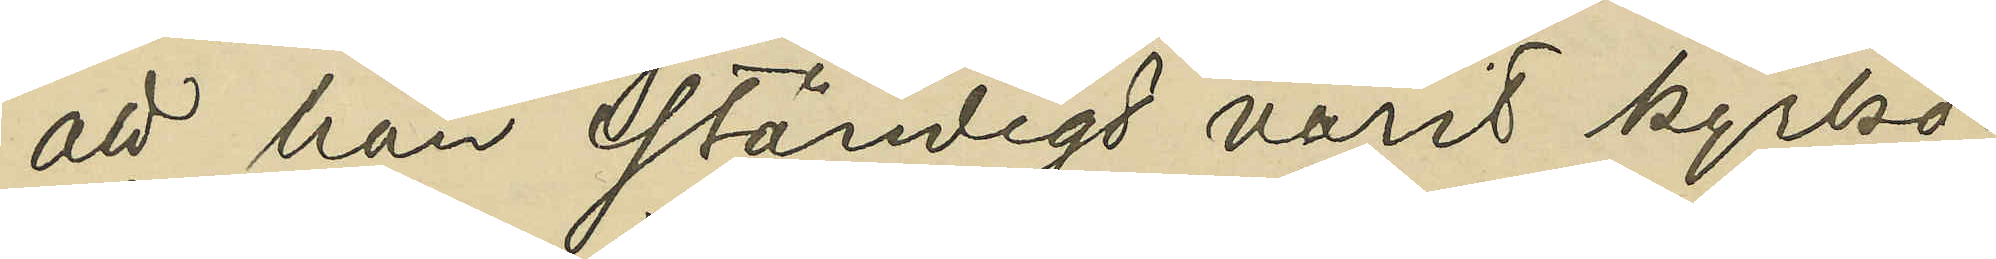att han ständigt varit kyrko¬
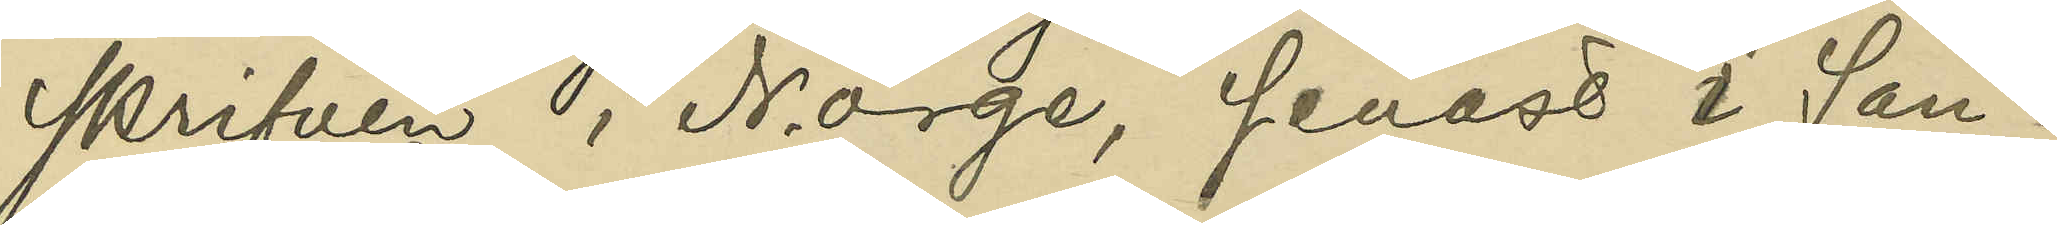skrifven i Norge, senast i San¬
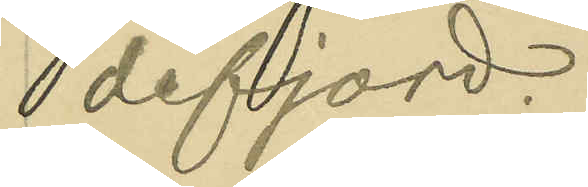defjord.
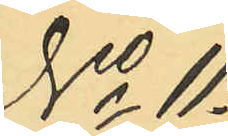No 11.
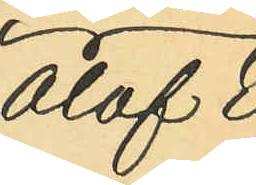Olof E¬
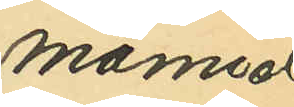manuel
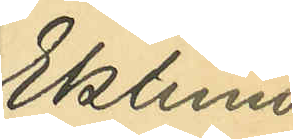Eklund.
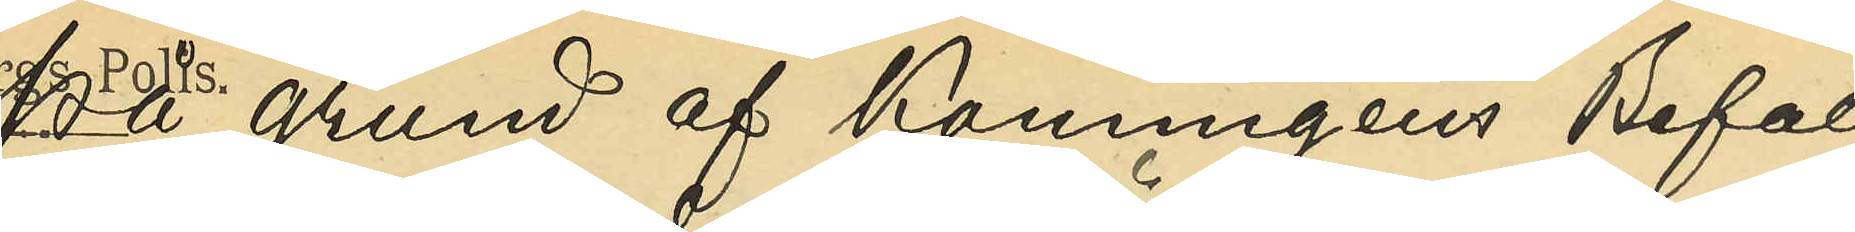På grund af Konungens Befall¬
